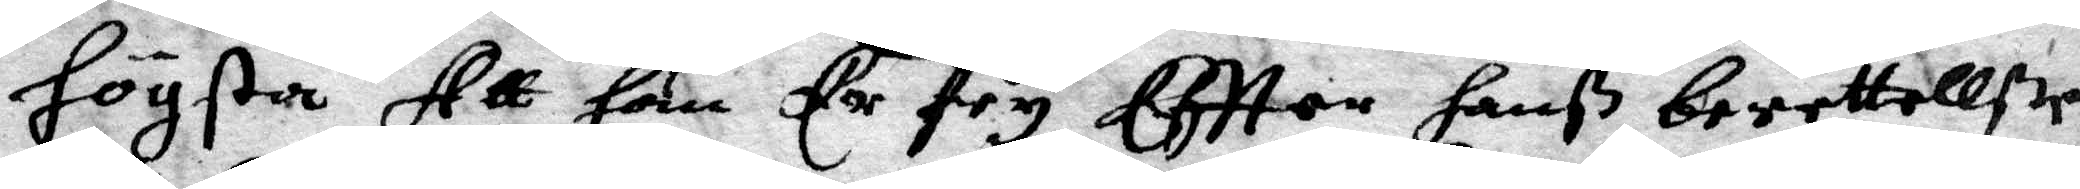Högsta Att han Er fry Eftter hanß berettellße
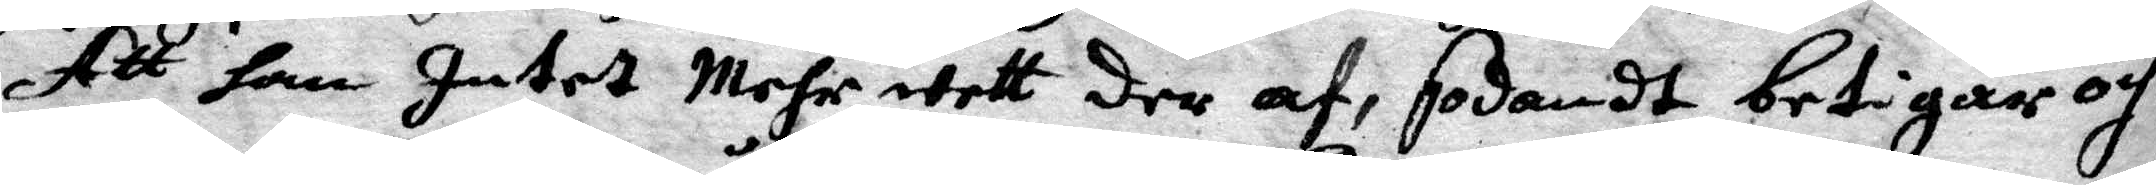Att han Intet Mehr wett der af, sodant betigar och
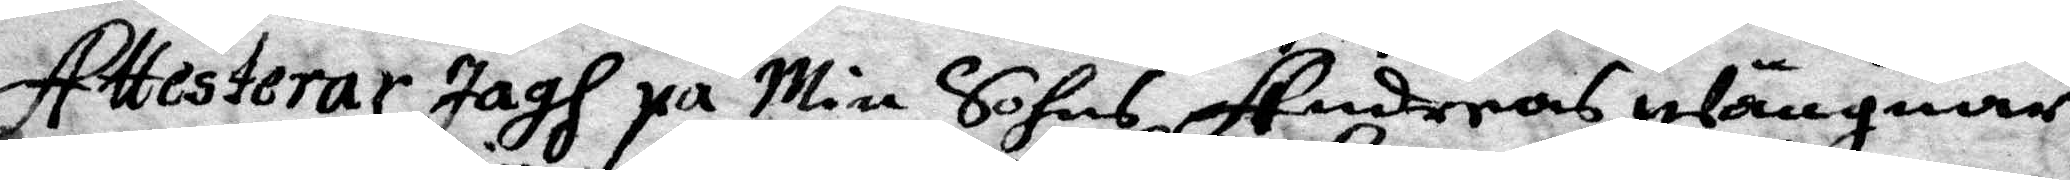Attesterar Jagh på Min Sohns Andreas wängnar
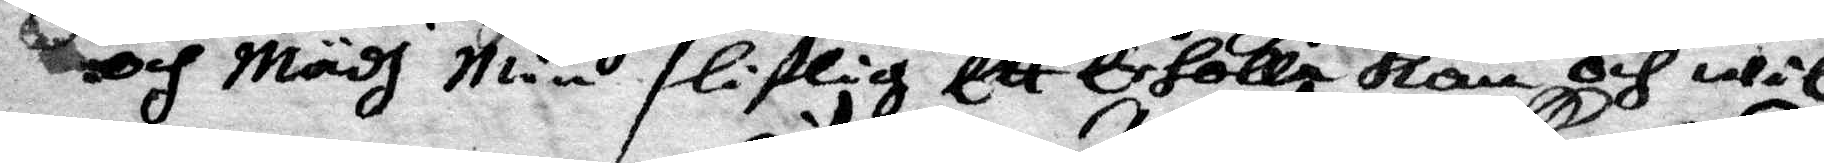och Mädh Min liflig Ett Erholle kan och wil
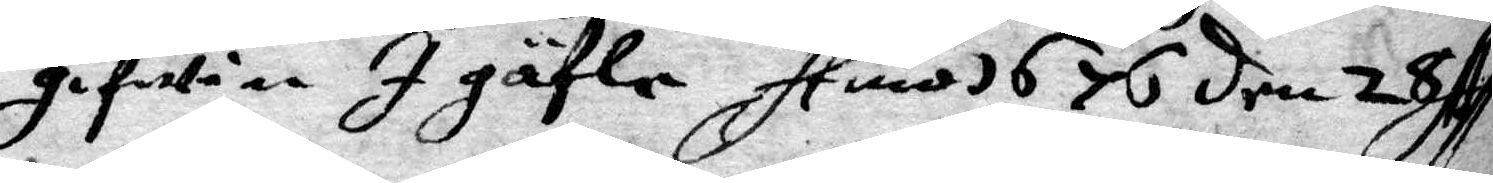gifwen I gäfle Anno 1676 den 28 Ap
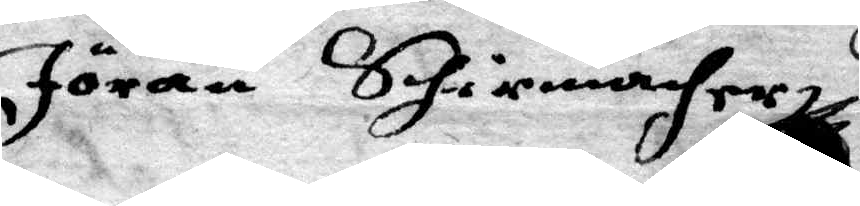Jöran Skinnaher
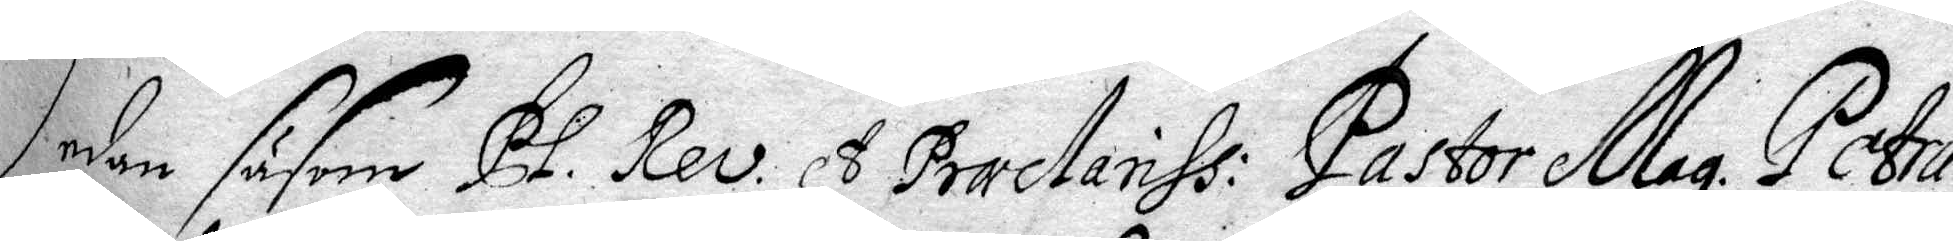Sedan såsom PL. Rev. A Praæctanhs: Pastor Mag. Petrus
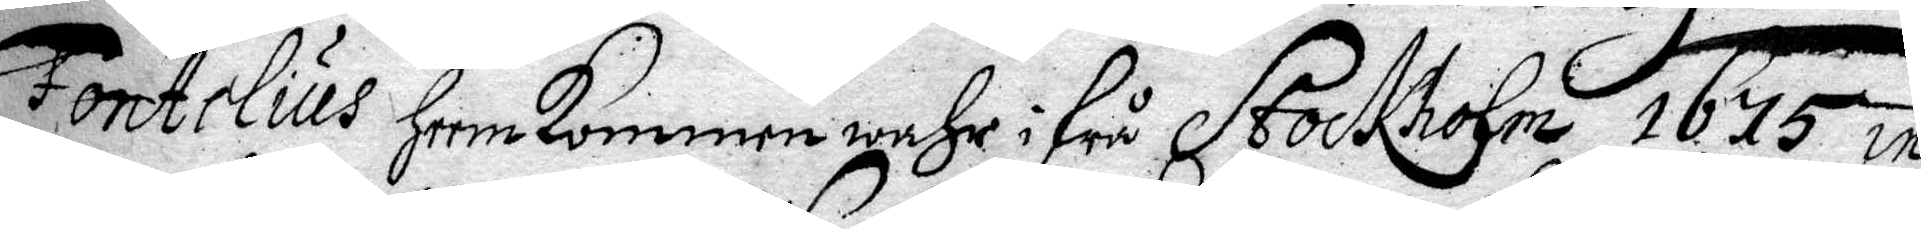Fontelus Heemkommen wahr i frå Stockholm 1675 in
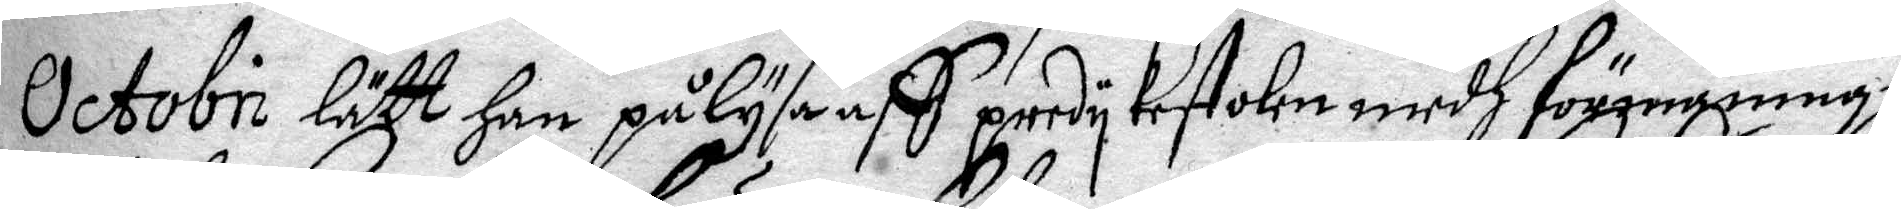Octobri lätt Han pålysa aff predykestolen medh förnigningh
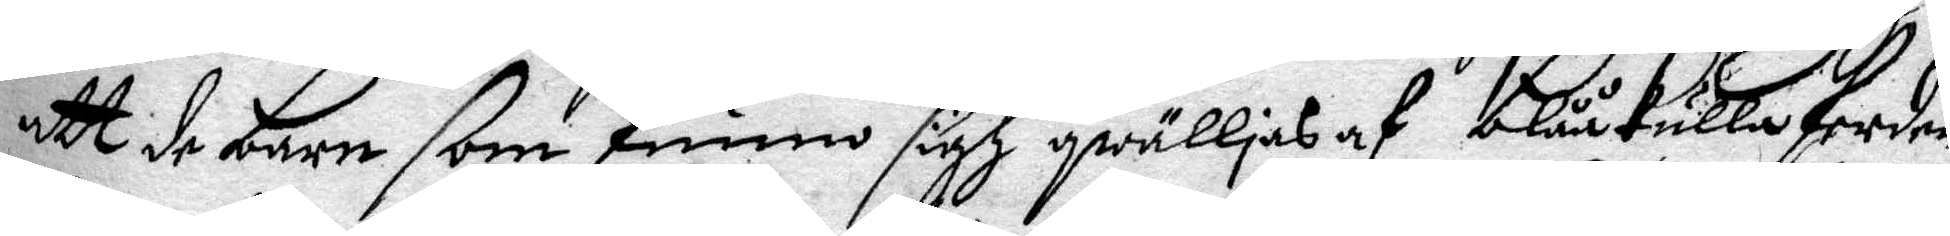att de Barn som funno sigh qwälljas af blåkullaferden
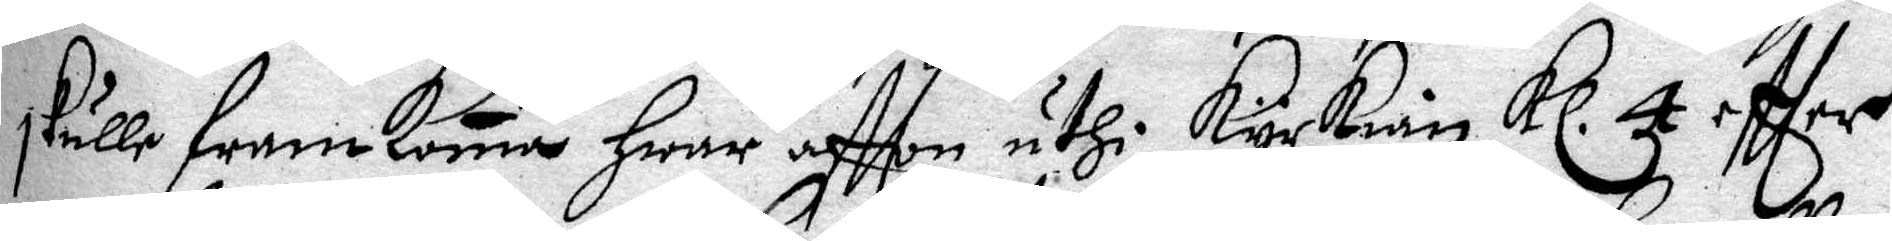skulle framkoma Hwar aftton uthi Kyrkian Kl. 4 eftter
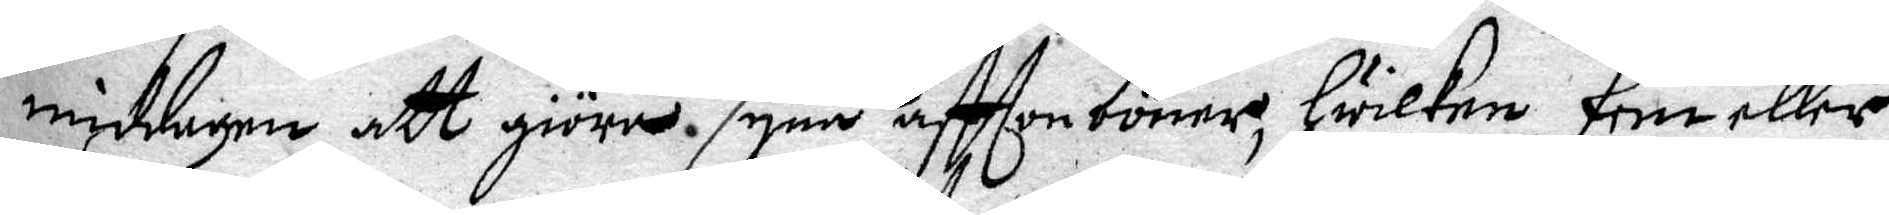middagen att giöra syne afttonböner, Hwilken Fem eller
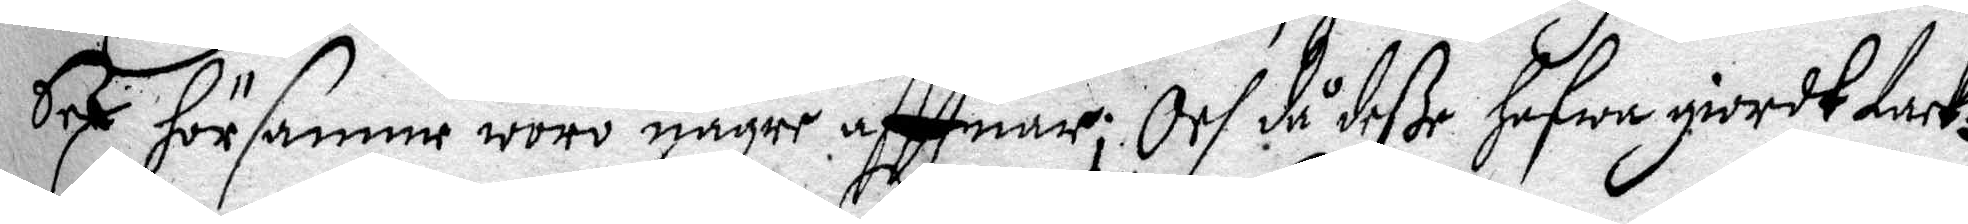Sex hörsamme worw någre afttnar; Och då deße Hafwa giordt tack¬
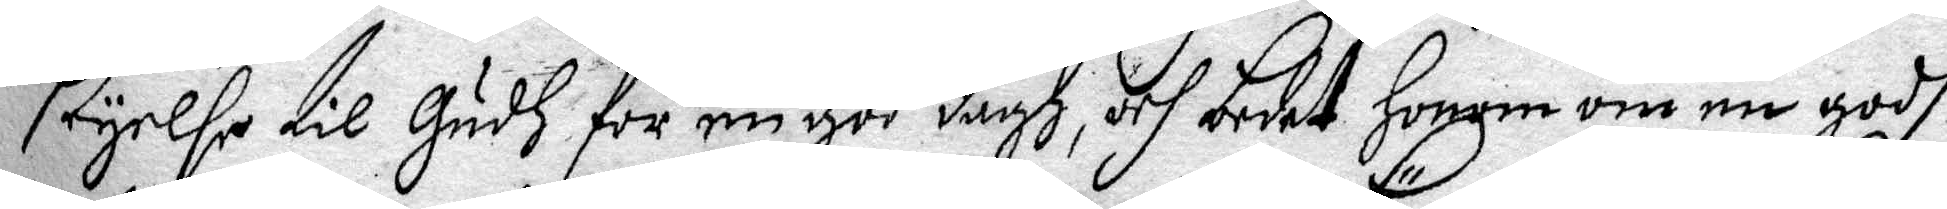seyelse til Gush för en god dagh, och bedet Honom om en godh
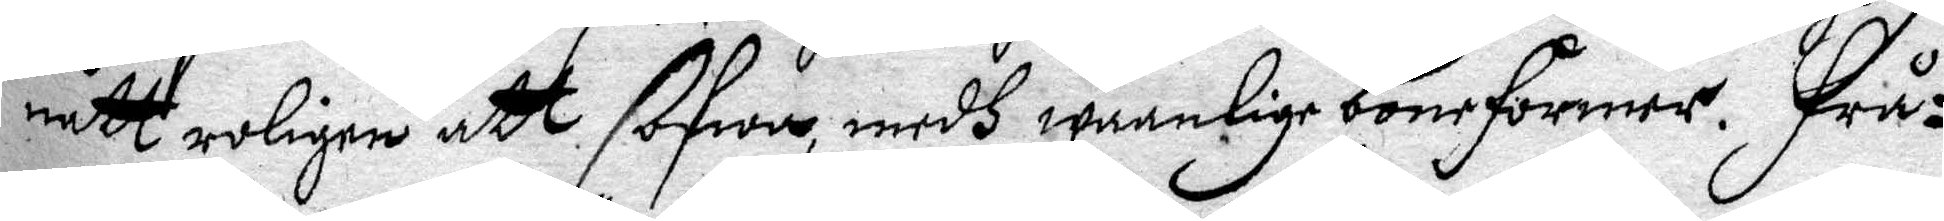natt roligen att sofwa, medh waanlige böneformer. Frå¬
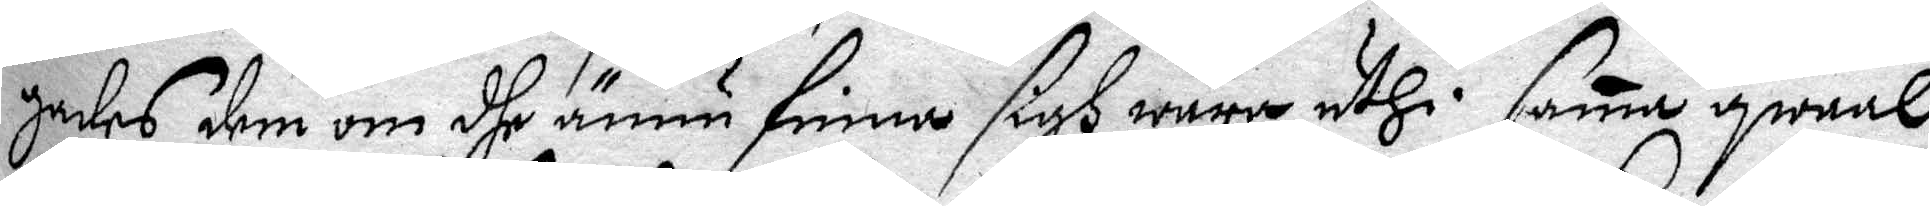gades dem om dhe ännu finna sigh wara uthi same qwaal
